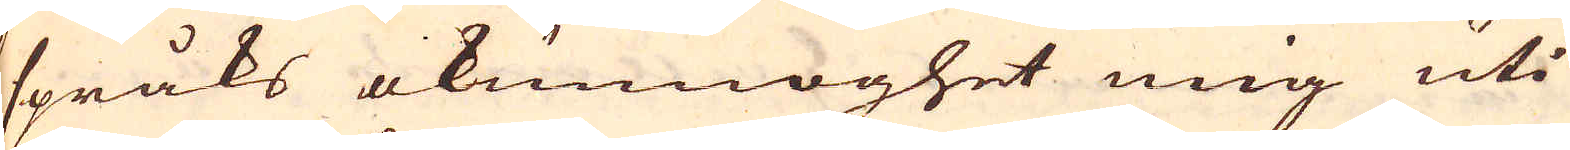språks okunnoghet mig uti
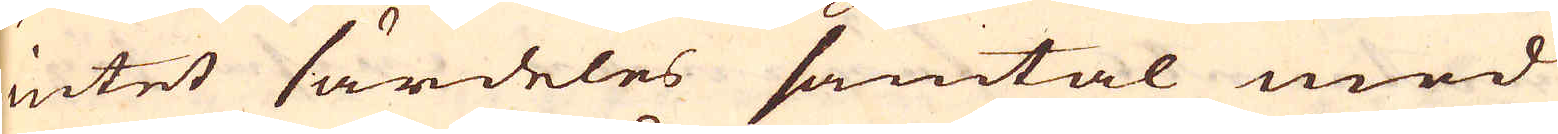intet särdeles samtal med
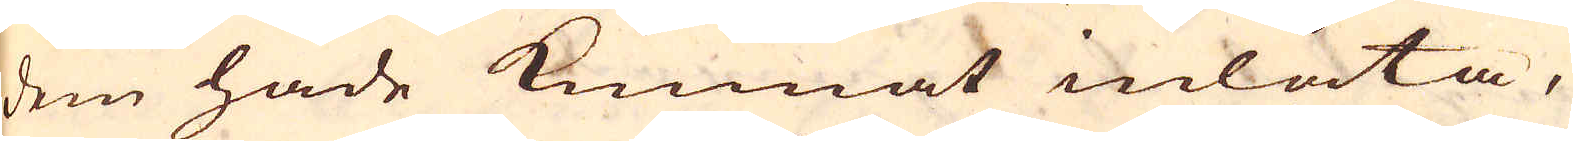dem hade kunnat inlåta,
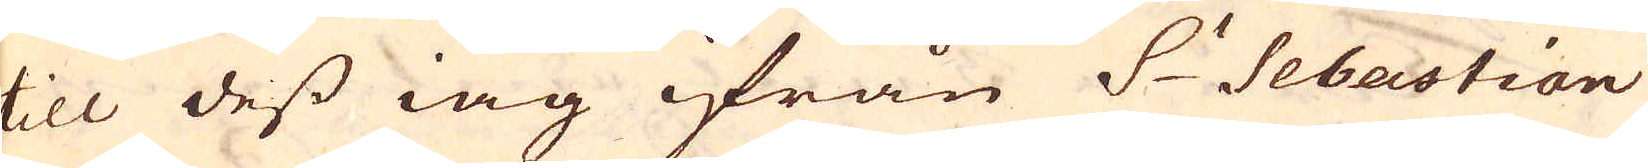till dess iag ifrån S:t Sebastian
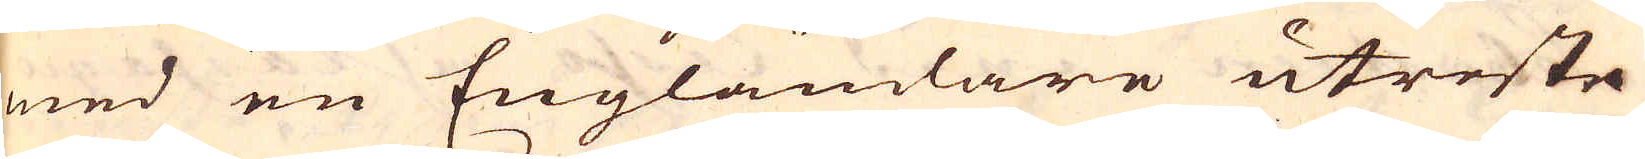med en Engländare utreste
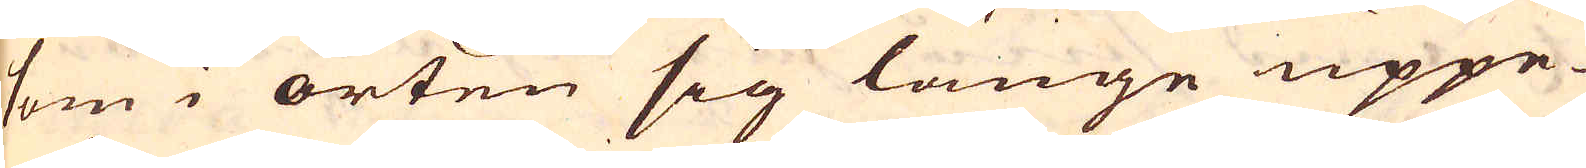som i orten sig länge uppe-
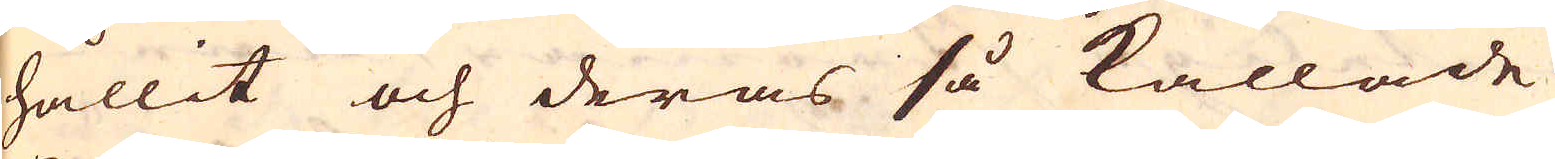hållit och deras så kallade
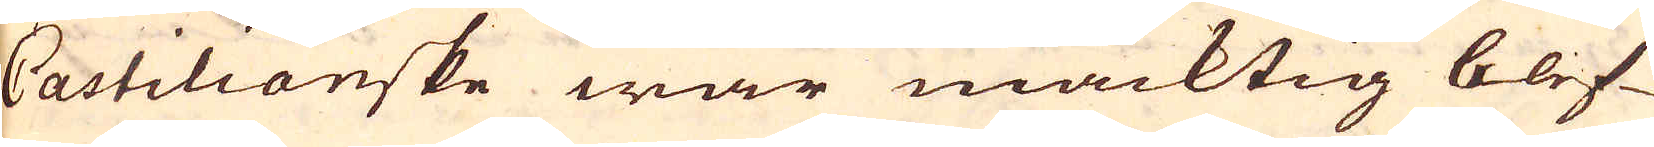Castilianske war mäcktig blef-
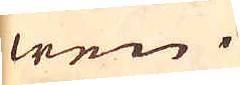wen.
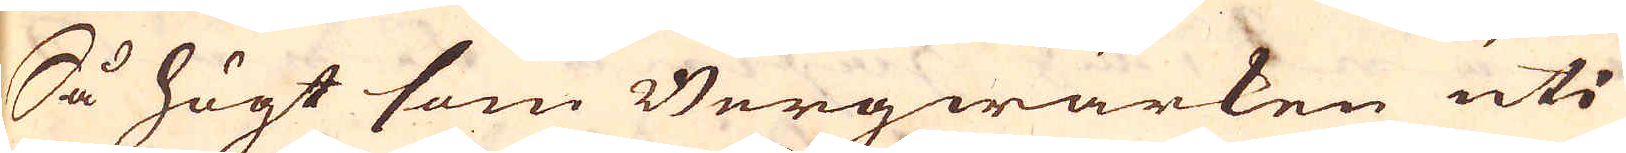Så högt som Bergwärken uti
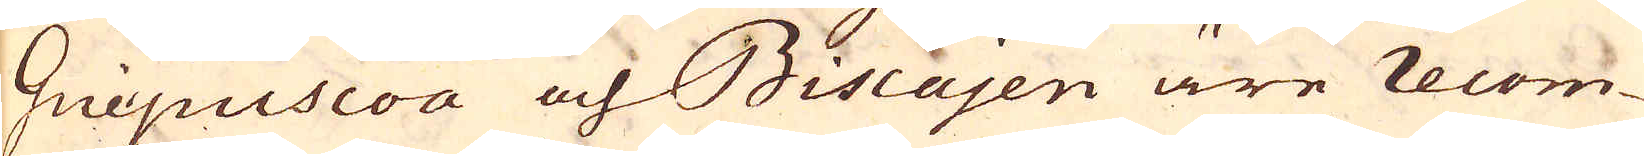Guipuscoa och Biscajen äre recom-
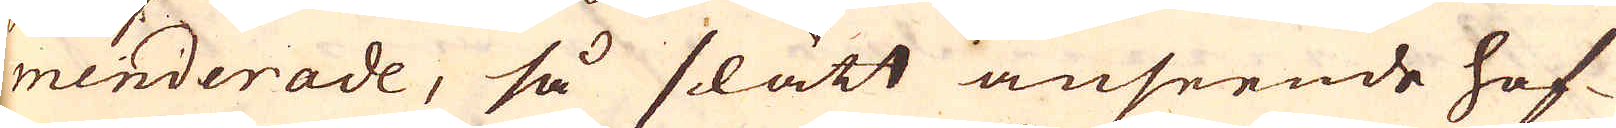menderade, så slätt anseende haf-
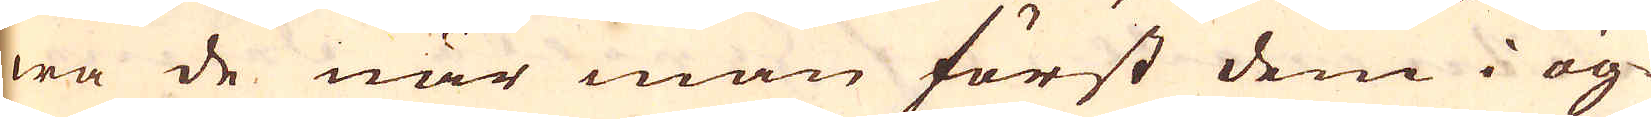wa de när man först dem i ög-
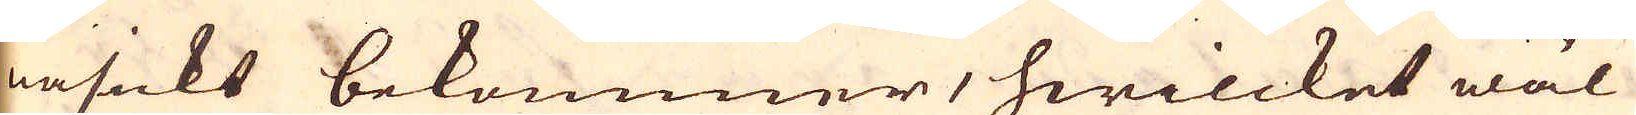nasickt bekommer, hwilcket wäl
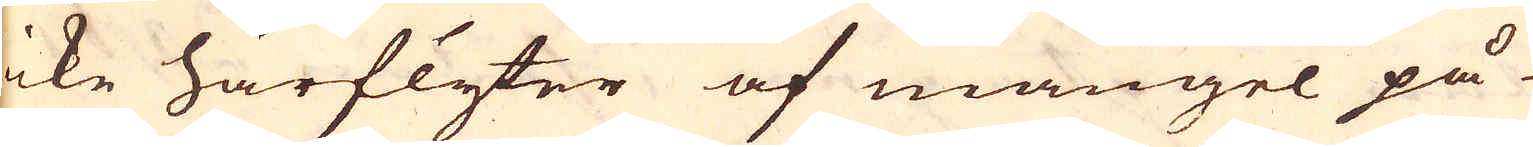icke härflyter af mangel på-
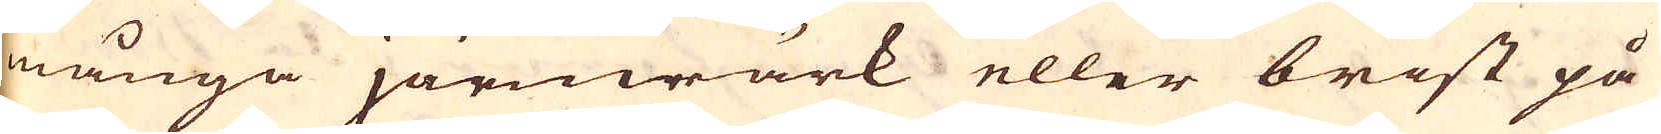många järnwärk eller brist på
